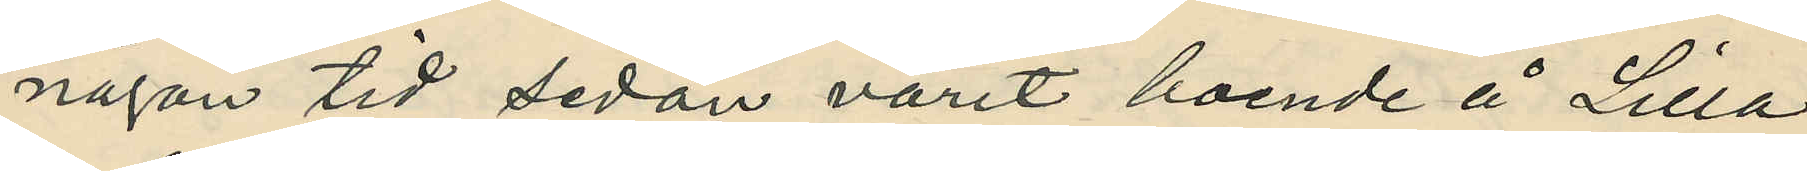någon tid sedan varit boende å Lilla
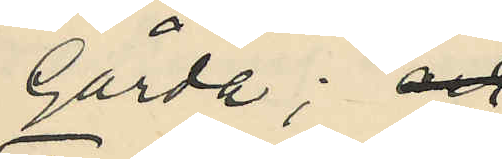Gårda; och
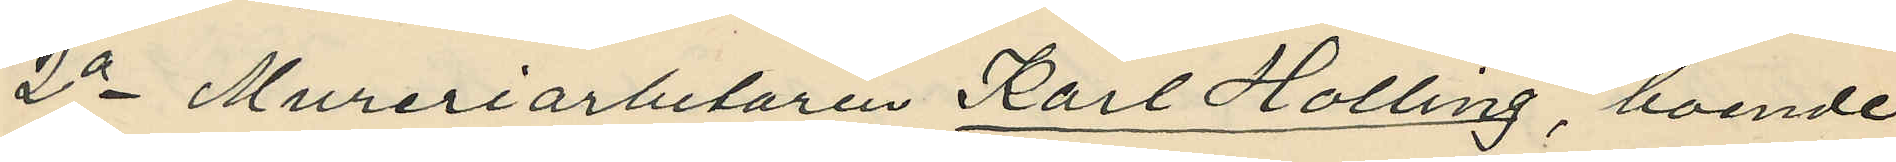2o Mureriarbetaren Karl Holling, boende
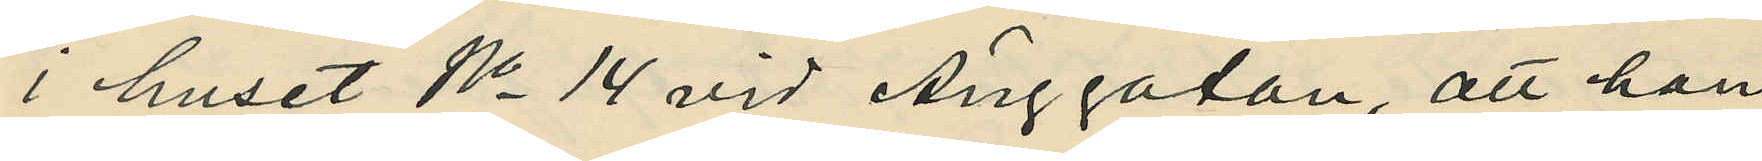i huset No 14 vid Änggatan, att han
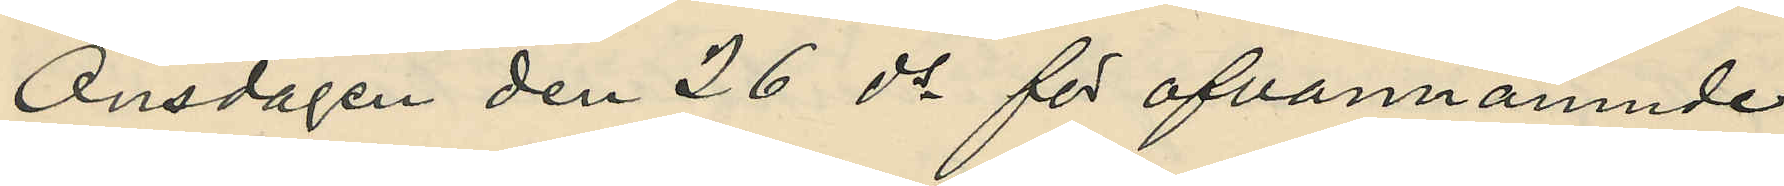Onsdagen den 26 ds för ofvannämnde
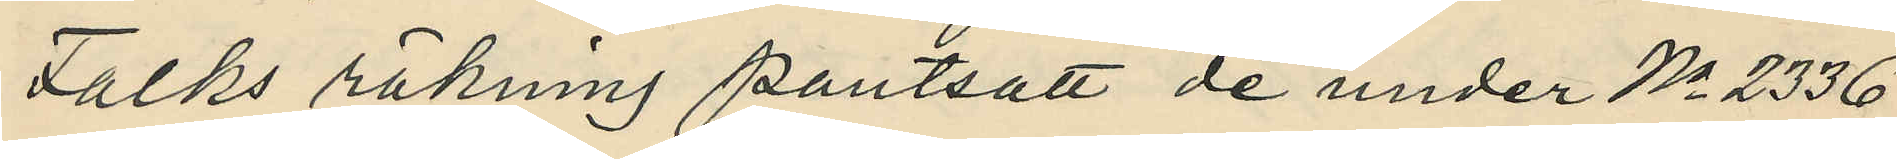Falks räkning pantsatt de under No 2336
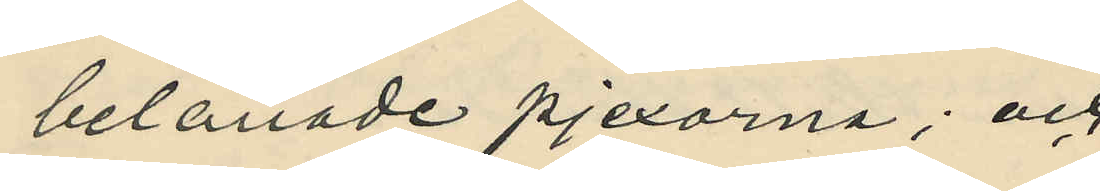belånade pjexorna; och
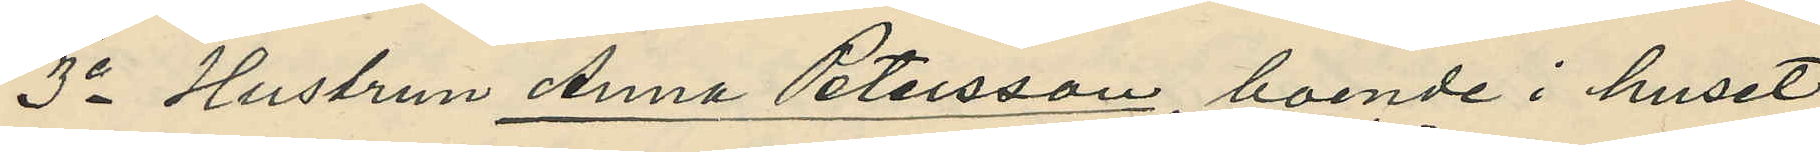3o Hustrun Anna Petersson, boende i huset
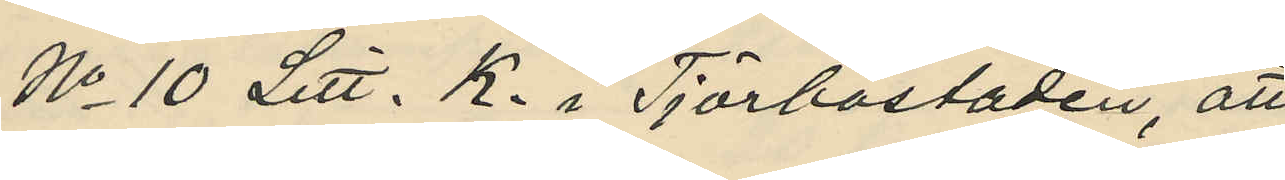No 10 Litt. K i Tjörbostaden, att
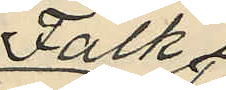Falk
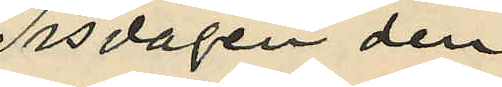Tisdagen den
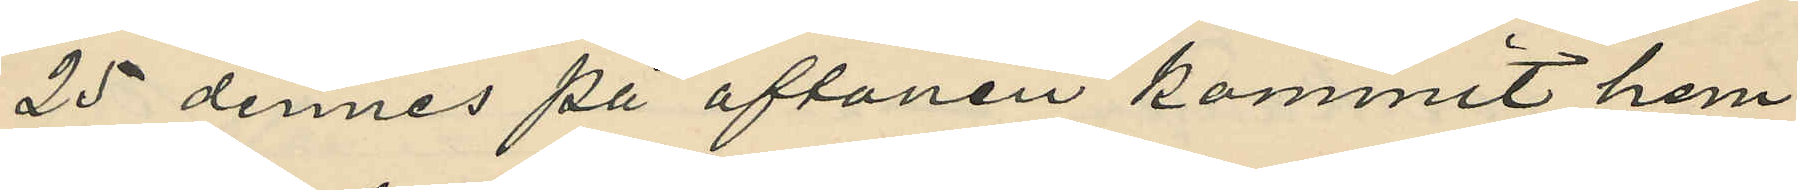25 dennes på aftonen kommit hem
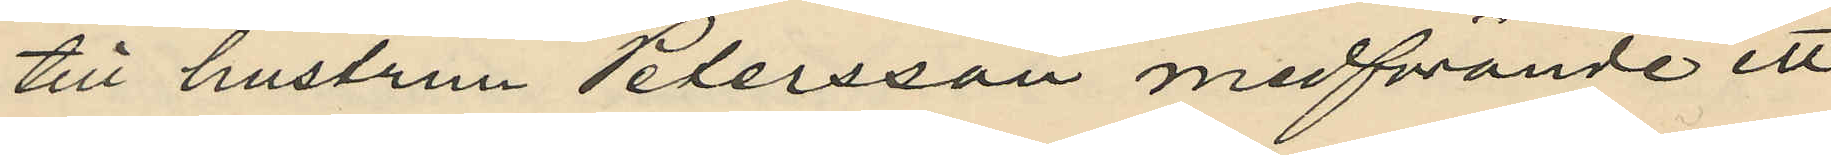till hustrun Petersson medförande ett
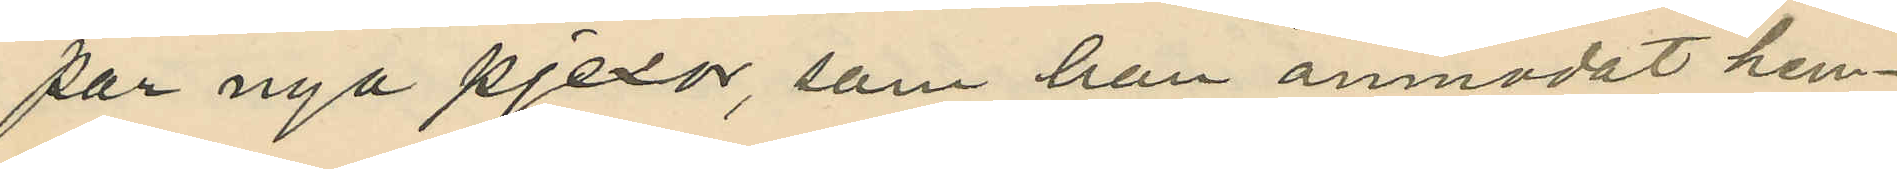par nya pjexor, som han anmodat hen¬
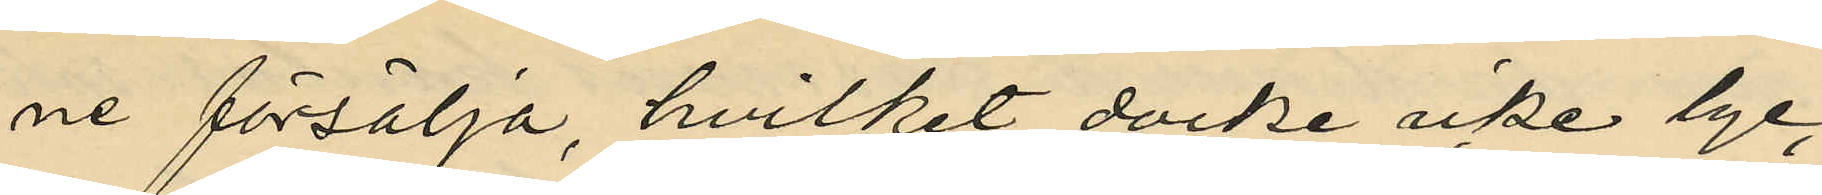ne försälja, hvilket docke icke lyc¬
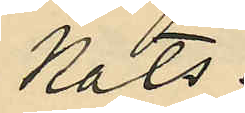kats.
